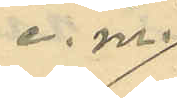e. m.
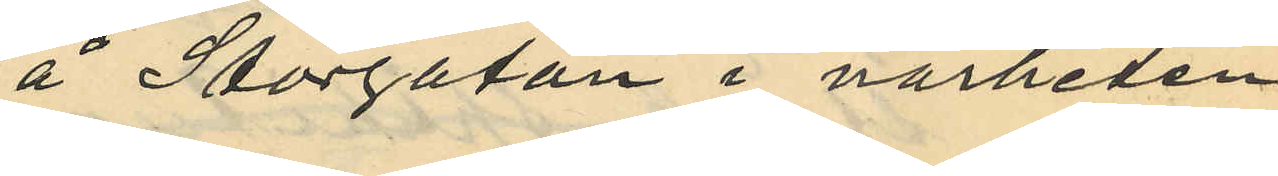å Storgatan i närheten
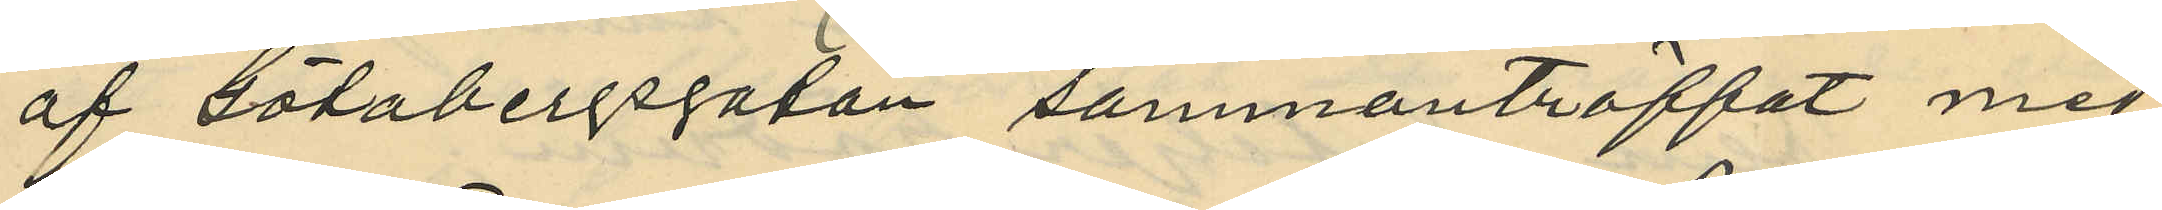af Götabergsgatan sammanträffat med
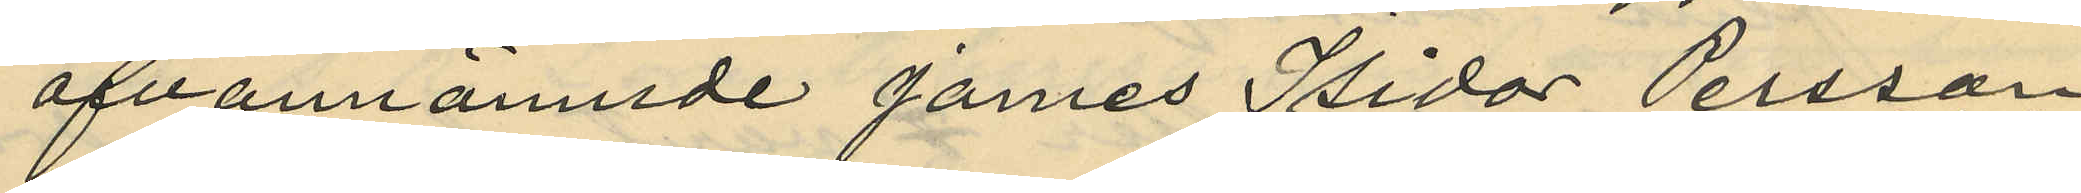ofvannämnde James Isidor Persson
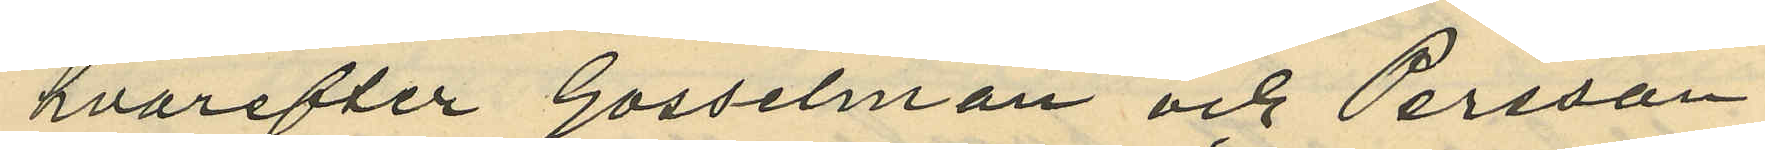hvarefter Gosselman och Persson
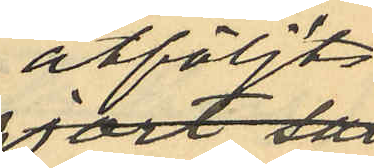åtföljts
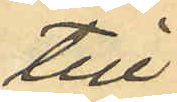till
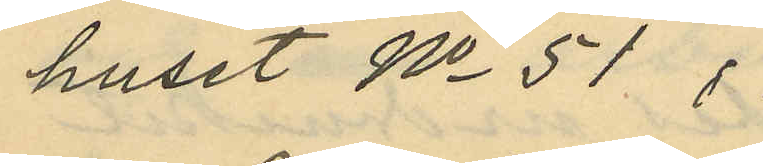huset No 51 i
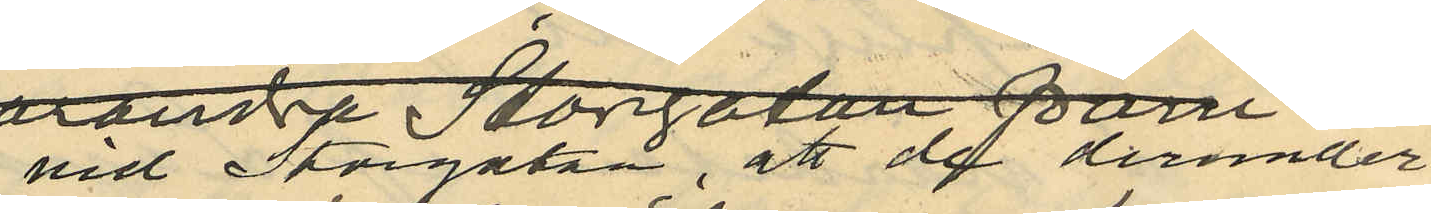vid Storgatan, att de derunder
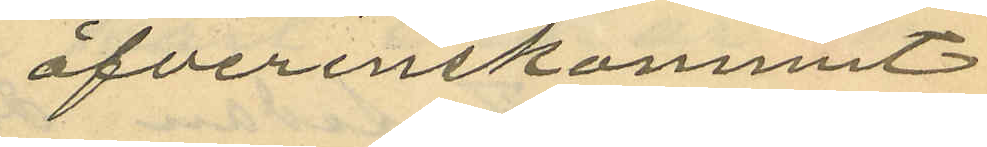öfverenskommit
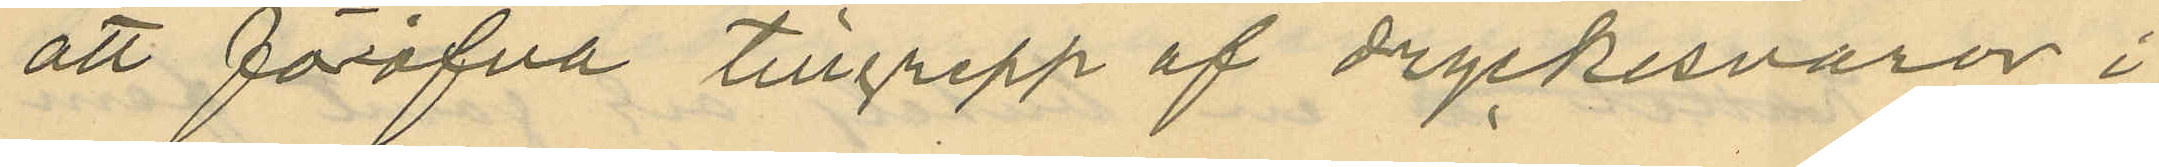att föröfva tillgrepp af dryckesvaror i
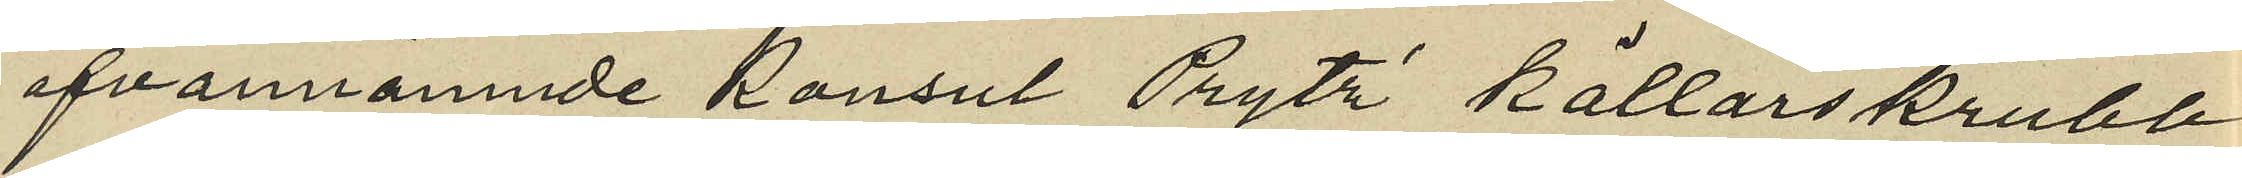ofvannämnde Konsul Prytz källarskrubb
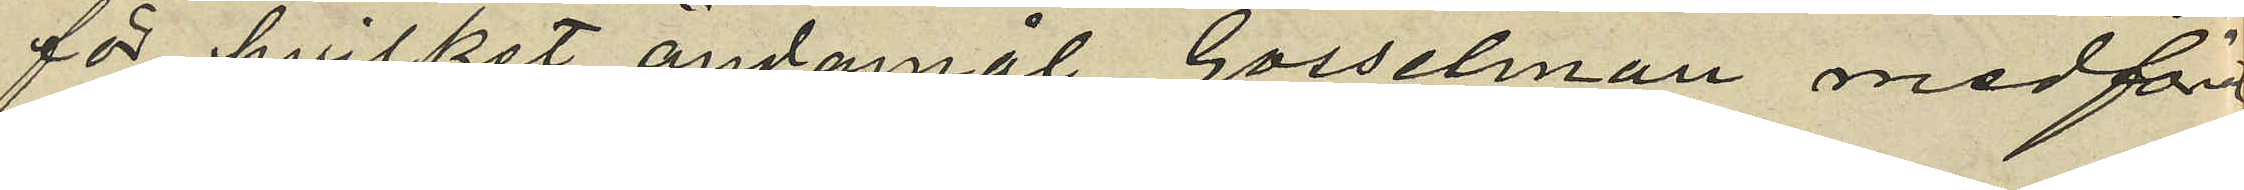för hvilket ändamål Gosselman medför
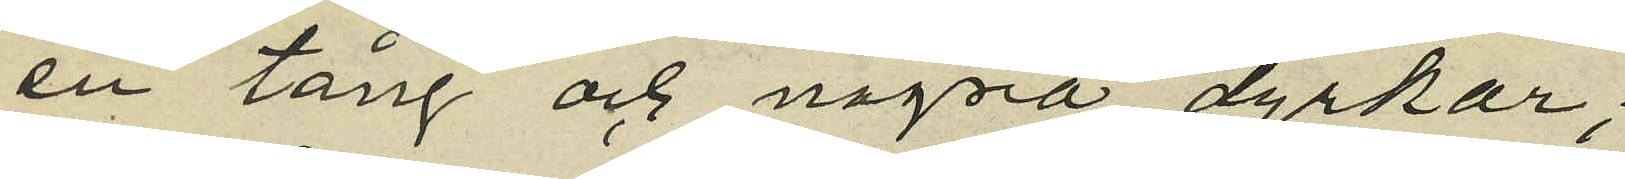en tång och några dyrkar;
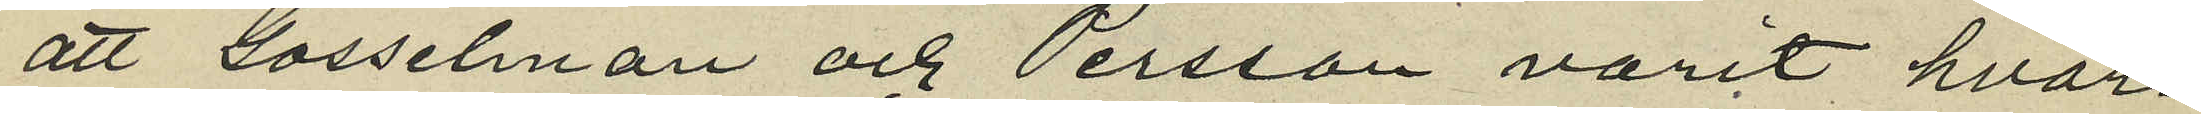att Gosselman och Persson varit hvar¬
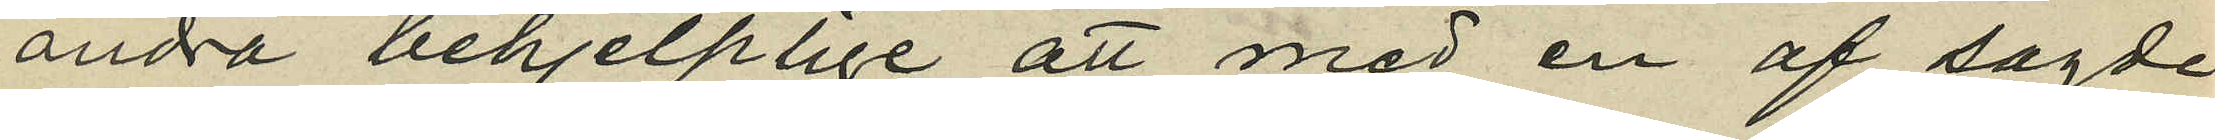andra behjelplige att med en af sagde
